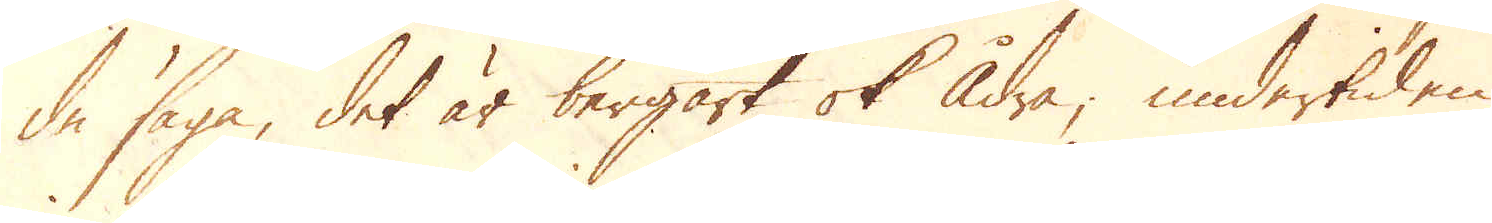de säga, det är bergart ok ådra; undertiden
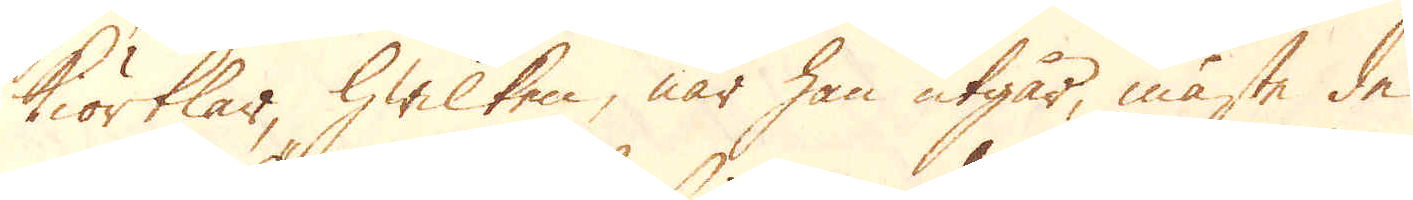i kiörtlar, hwilken, när han utgår, måste de
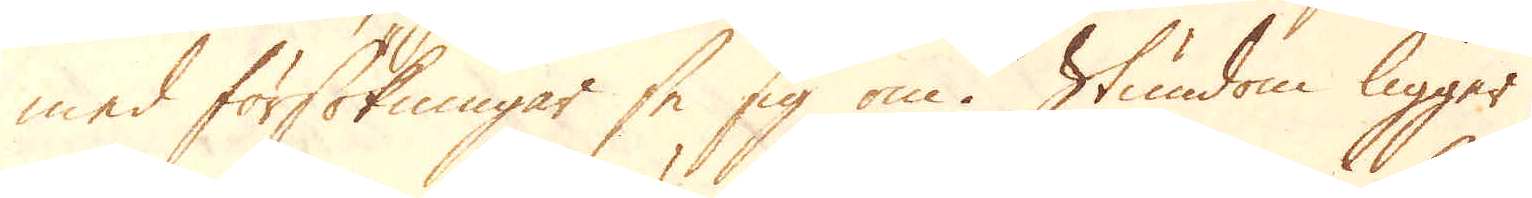med försökningar se sig om. Stundom ligger
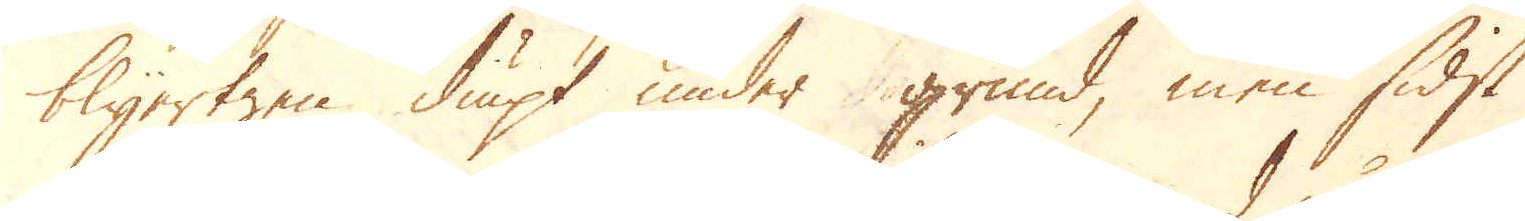blyertzen diupt under grund, men sidst
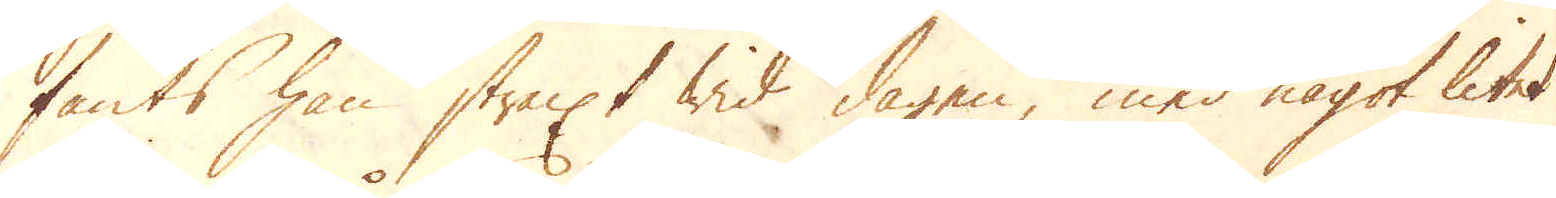fants han straxt wid dagen, med något litet
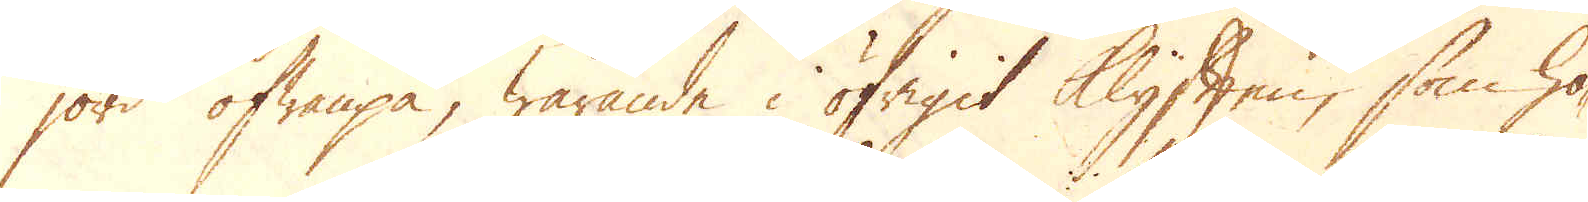jord ofwanpå, warande i öfrigit Klyften, som ho-
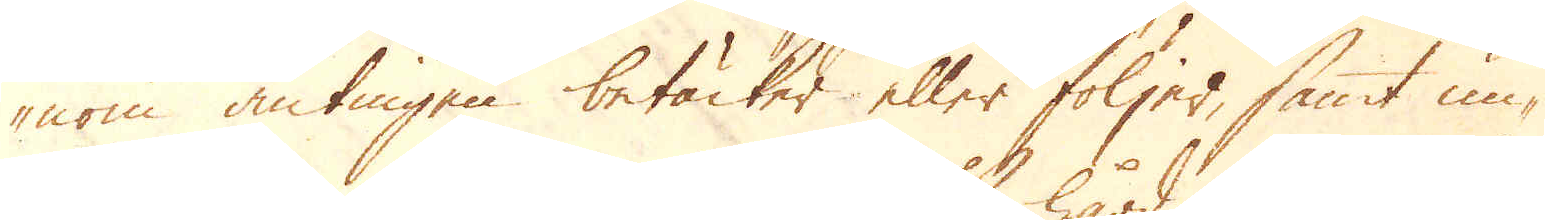nom antingen betäcker eller följer, samt un-
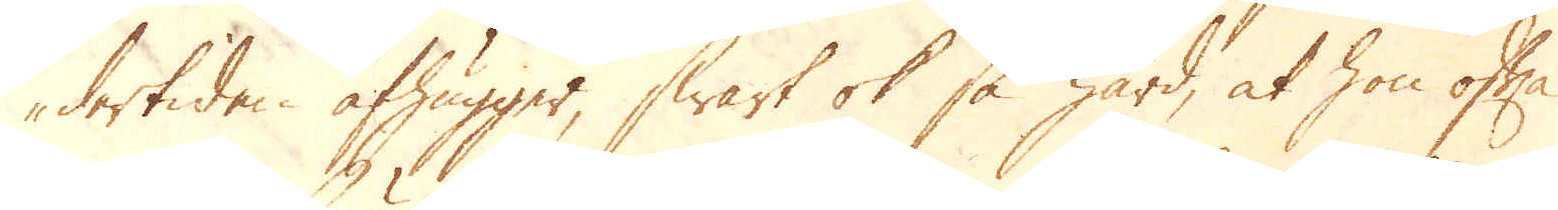dertiden afhugger, swart ok så hård, at hon ofta
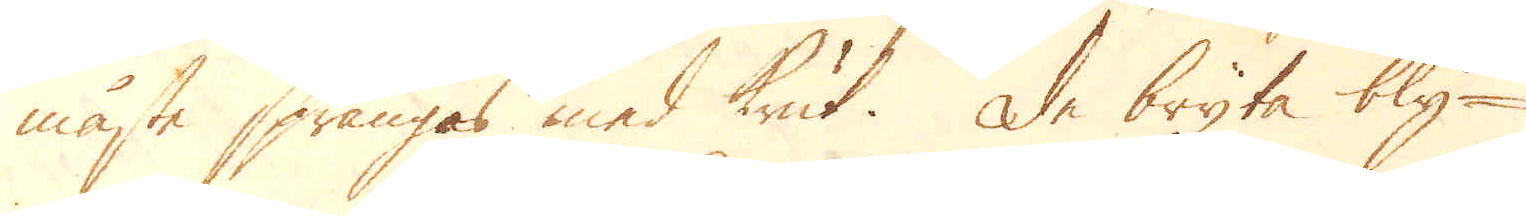måste sprängas med Krut. De bryta bly-
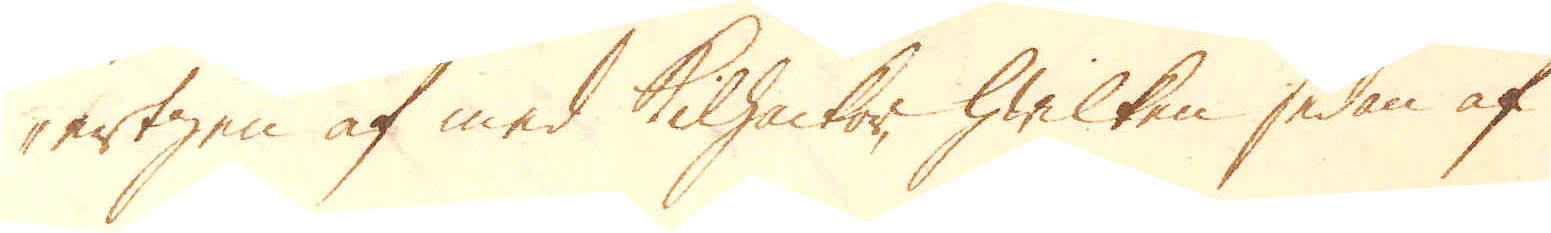ertzen af med Kilhackor, hwilken sedan af
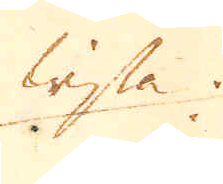wissa
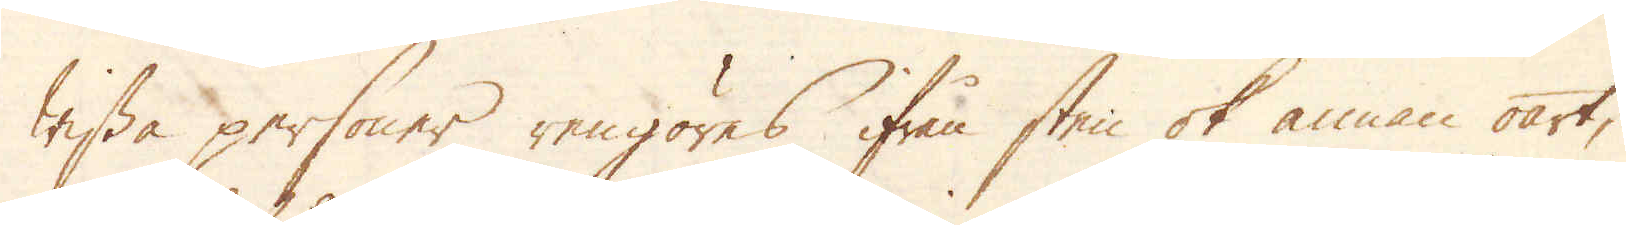wissa personer rengöres ifrån sten ok annan oart;
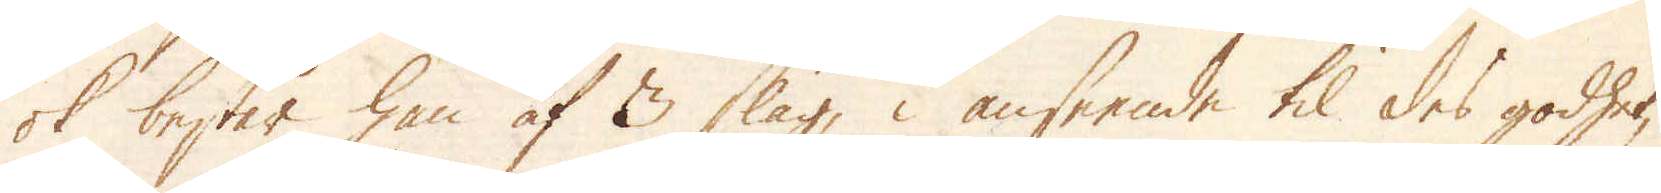ok består han af 3 slag, i anseende til des godhet,
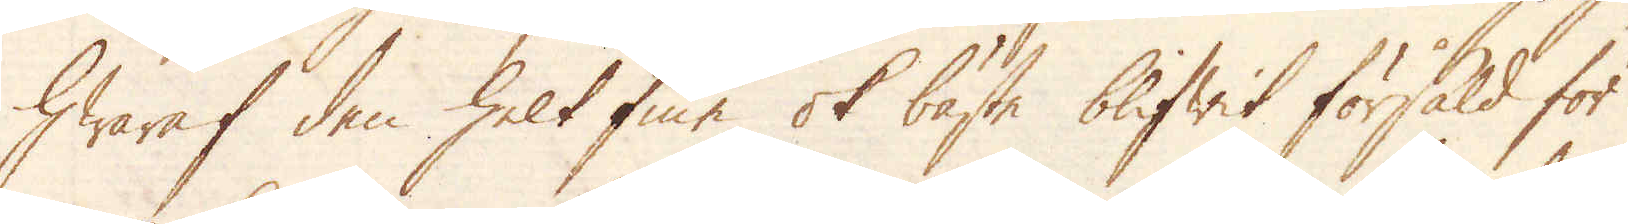Hwaraf den helt fine ok bäste blifwit försåld för
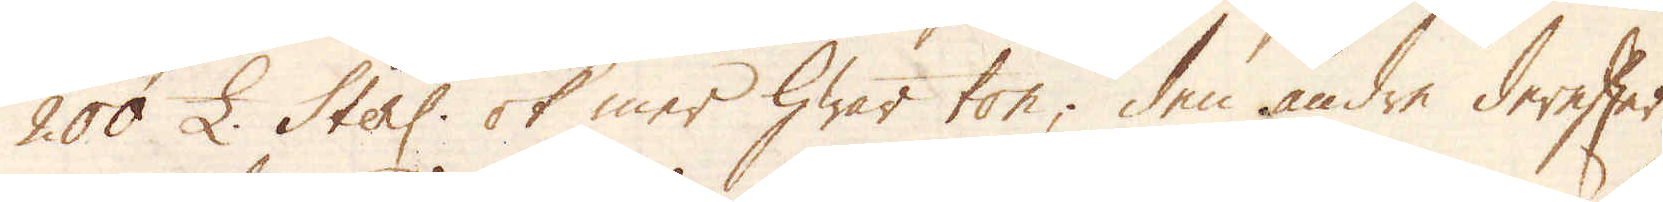200 £. Sterl: ok mer hwar ton; den andre derefter,
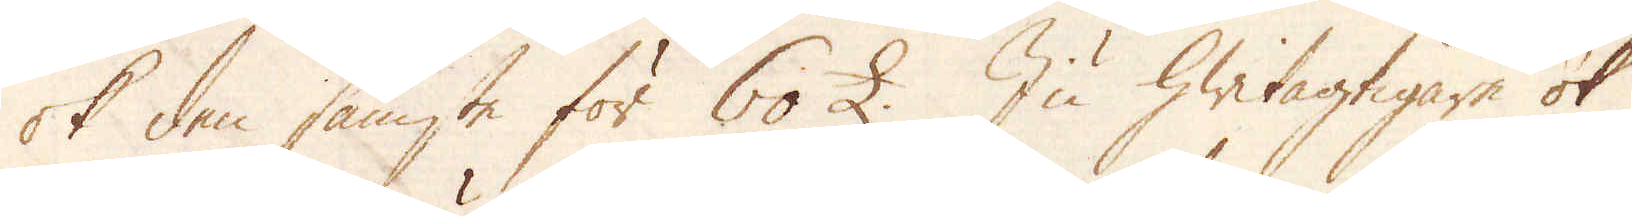ok den sämste för 60 £. Ju hwitagtigare ok
